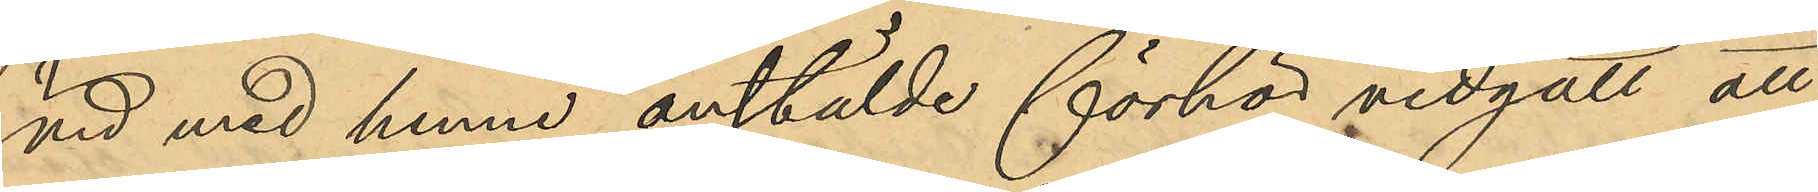vid med henne anstälde förhör vidgått att
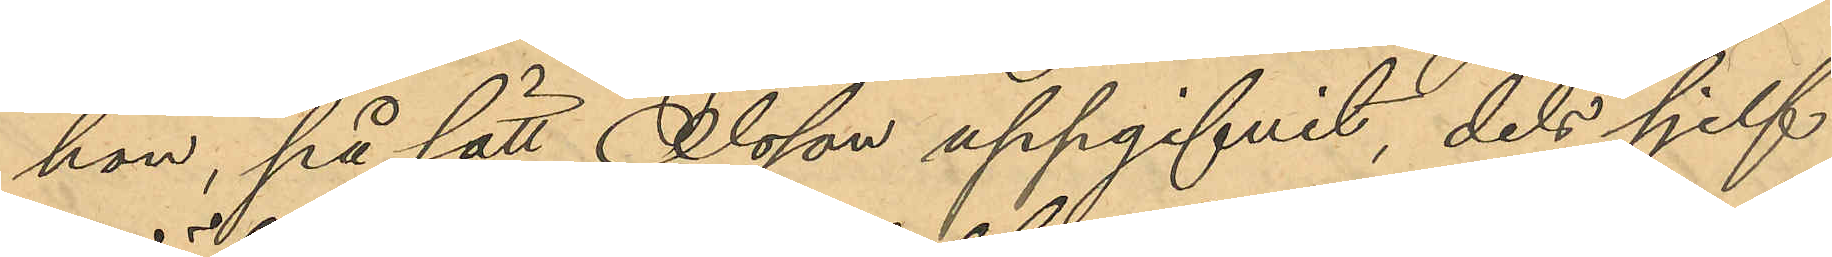hon, på sätt Olsson uppgifvit, dels sjelf
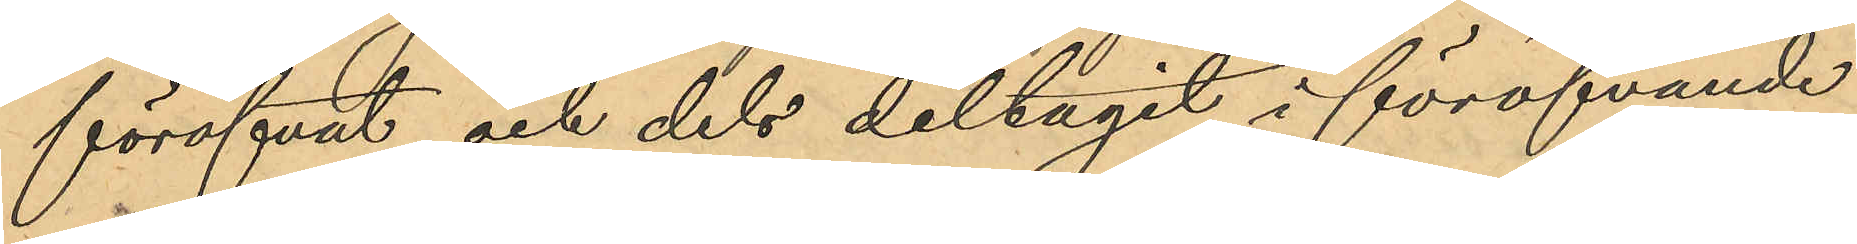föröfvat och dels deltagit i föröfvande
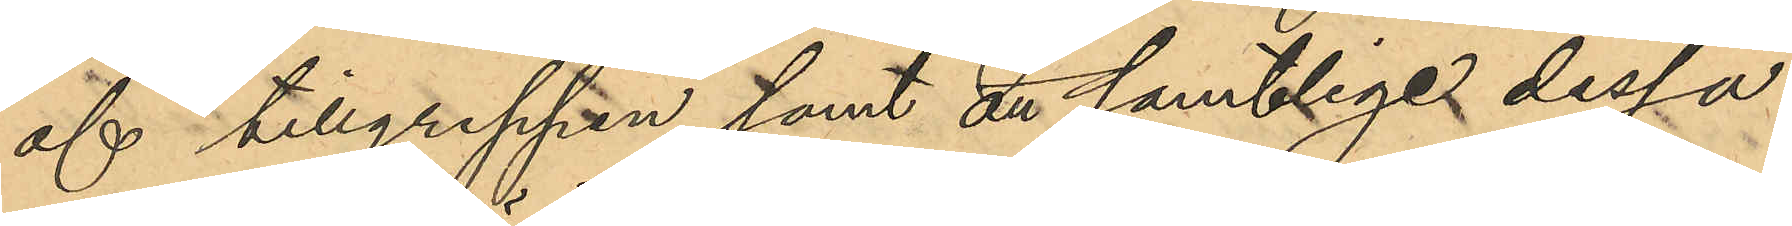af tillgreppen samt att samtlige dessa
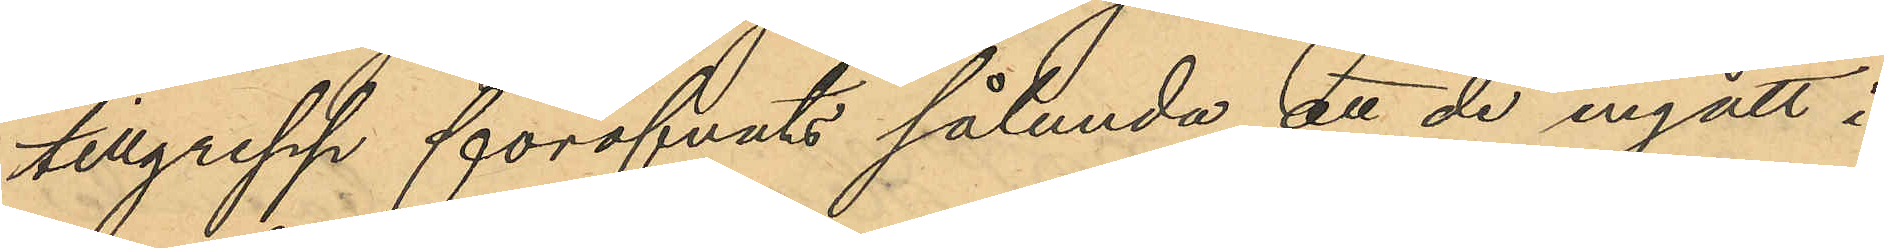tillgrepp föröfvats sålunda att de ingått i
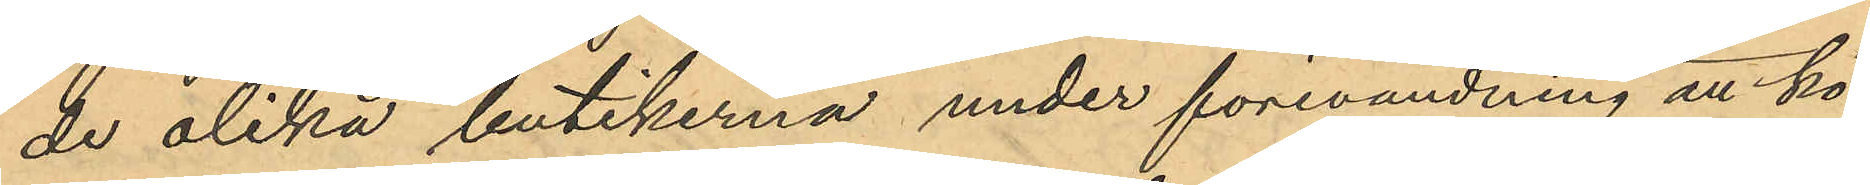de olika butikerna under förevändning att kö¬
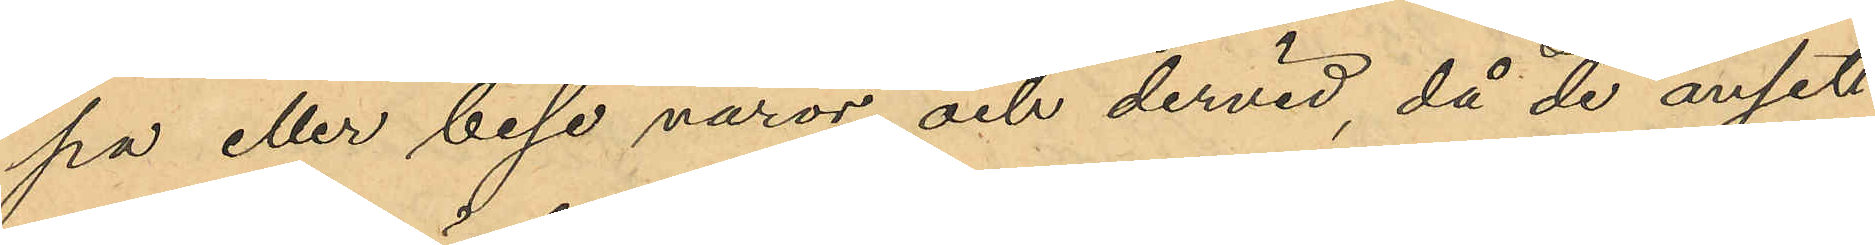pa eller bese varor och dervid, då de ansett
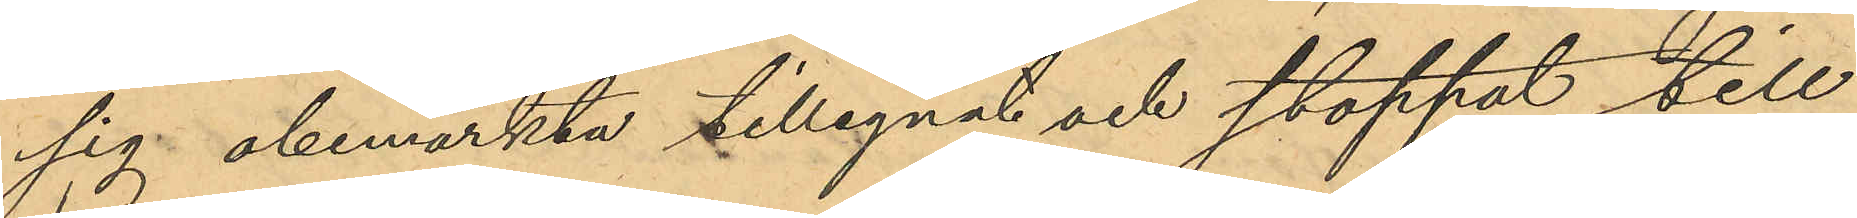sig obemärkta tillegnat och stoppat till
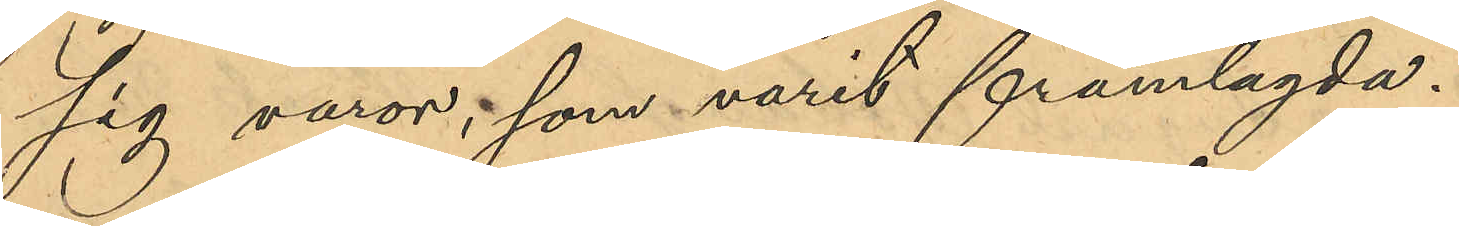sig varor, som varit framlagda.
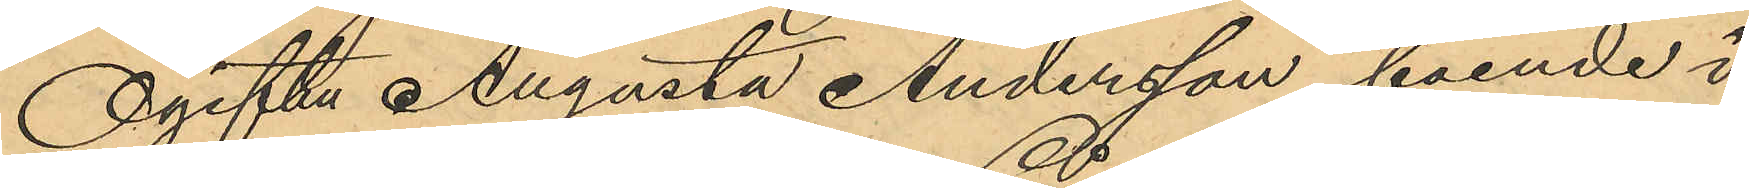Ogifta Augusta Andersson, boende i
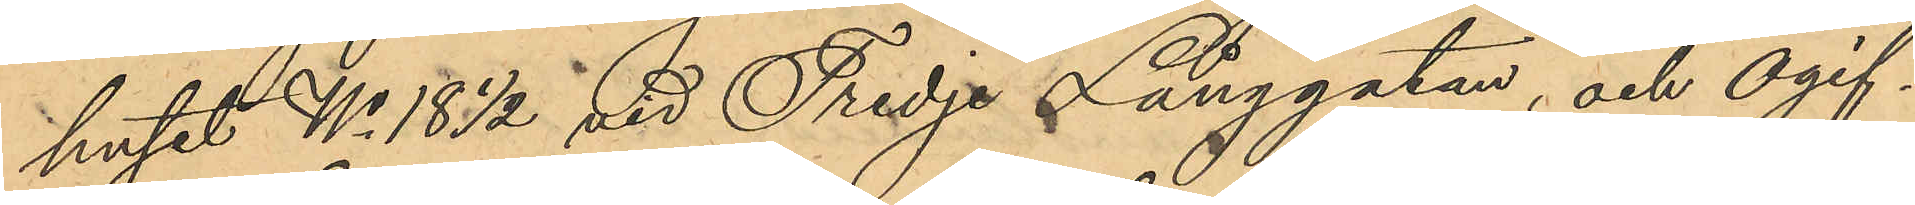huset No 18 ½ vid Tredje Långgatan, och ogif¬
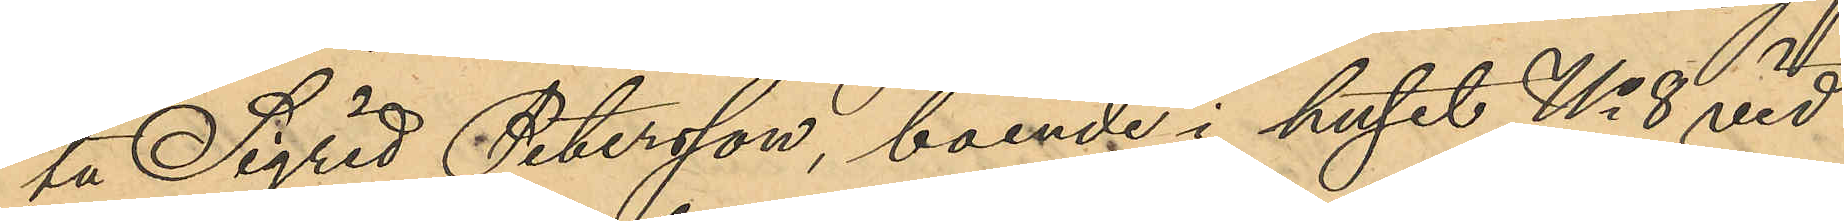ta Sigrid Petersson, boende i huset No 8 vid
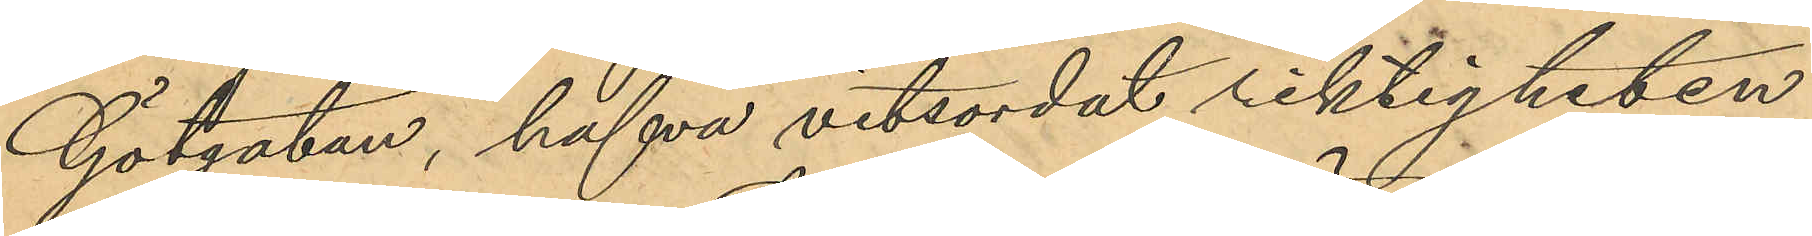Götgatan, hafva vitsordat riktigheten
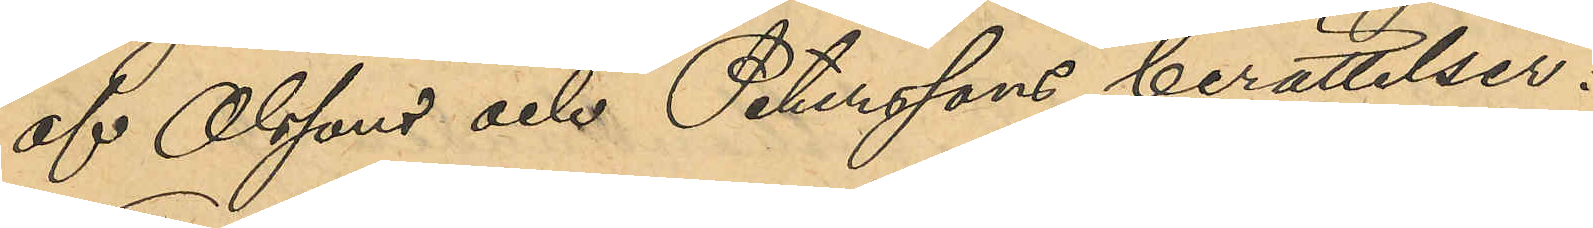af Olssons och Peterssons berättelser.
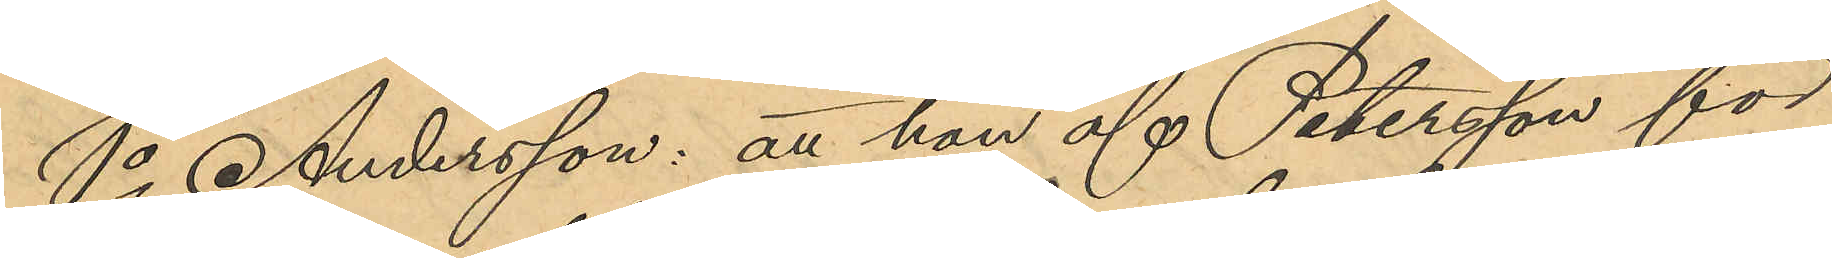1o Andersson: att hon af Petersson för
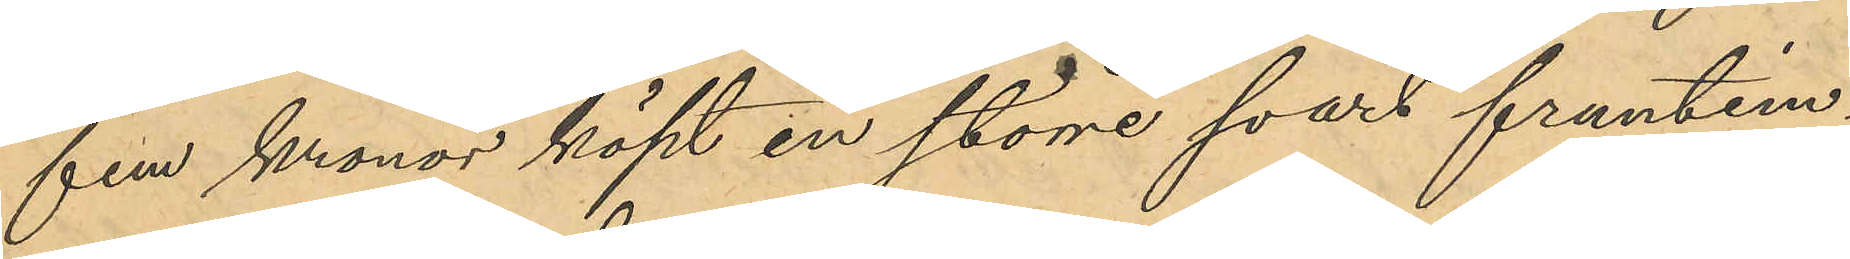fem kronor köpt en större svart fruntim¬
